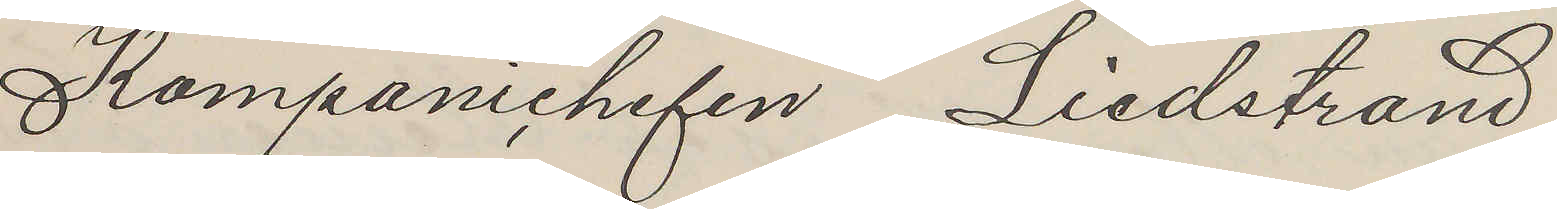Kompanichefen Liedstrand
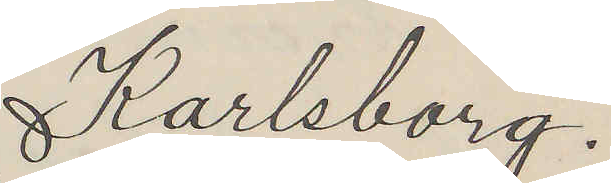Karlsborg.
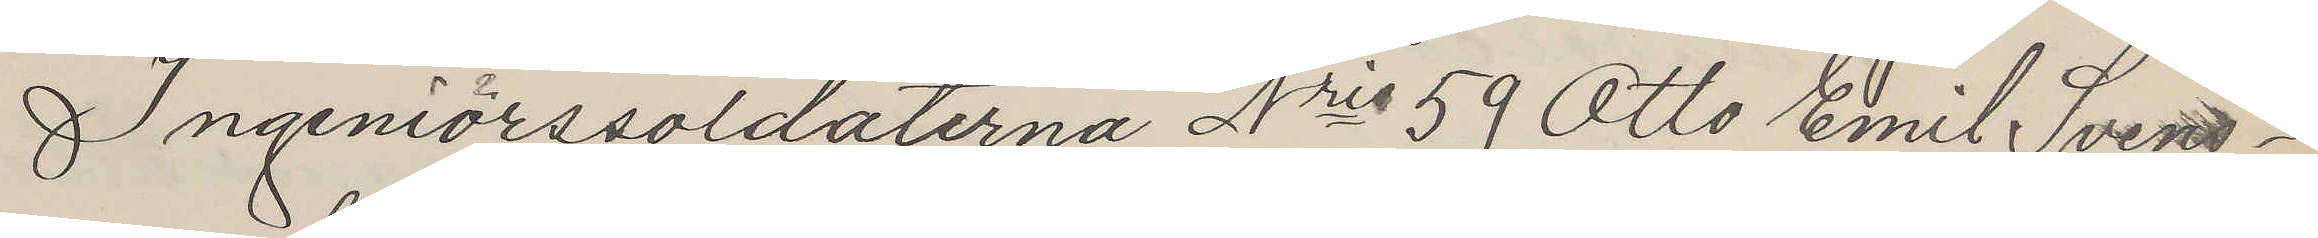Ingeniörssoldaterna Nris 59 Otto Emil Svens¬
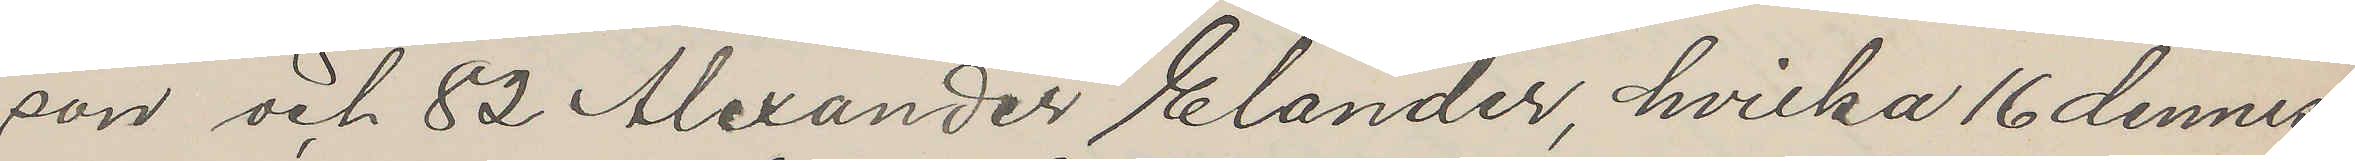son och 82 Alexander Elander, hvilka 16 dennes
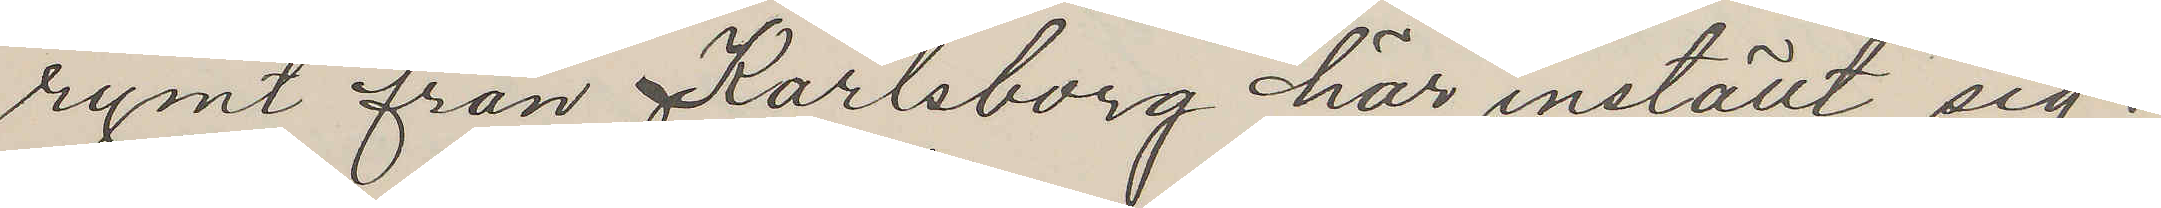rymt från Karlsborg här inställt sig.
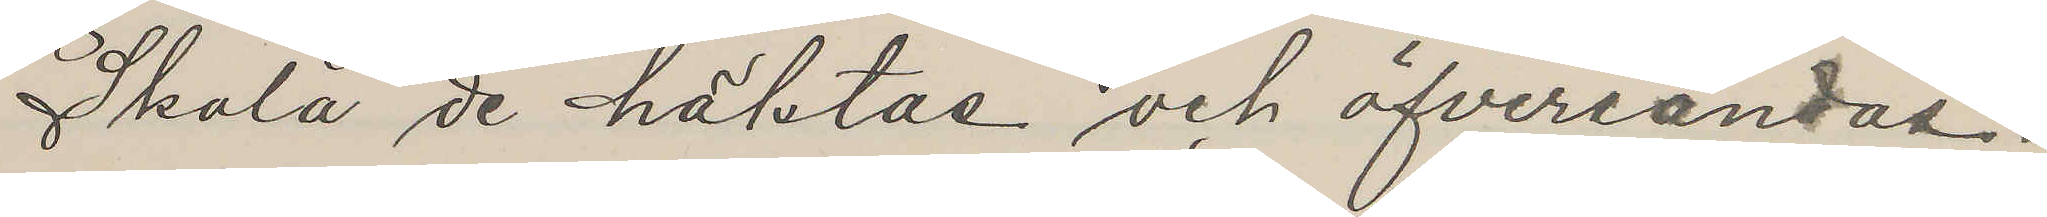Skola de häktas och öfversändas.
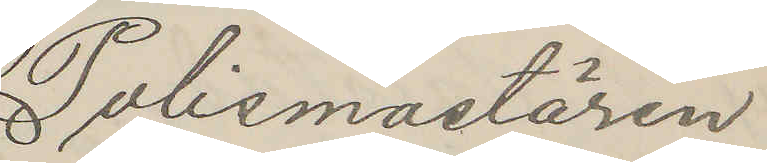Polismastären
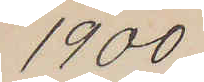1900
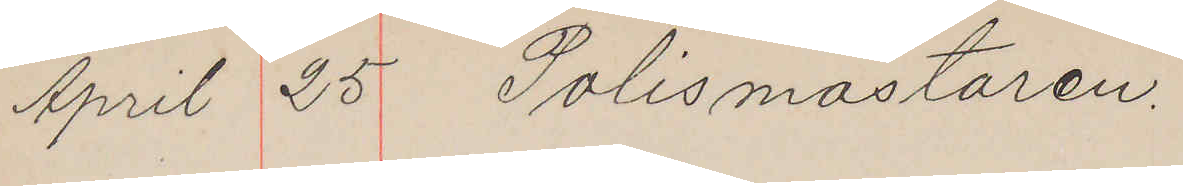April 25 Polismästaren.
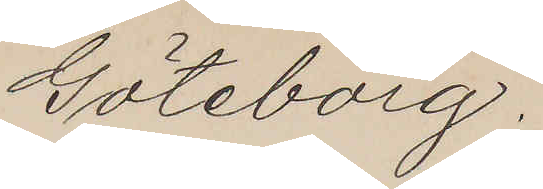Göteborg.
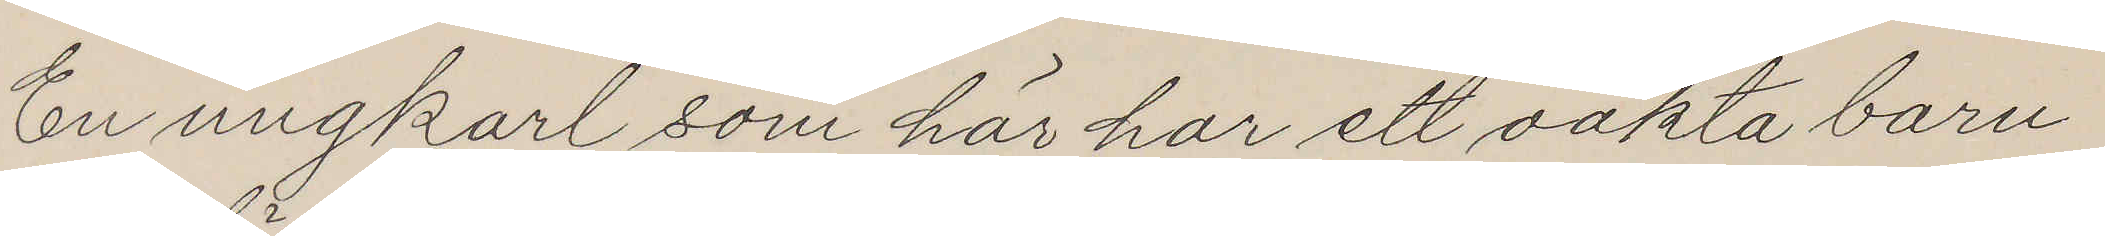En ungkarl som här har ett oäkta barn
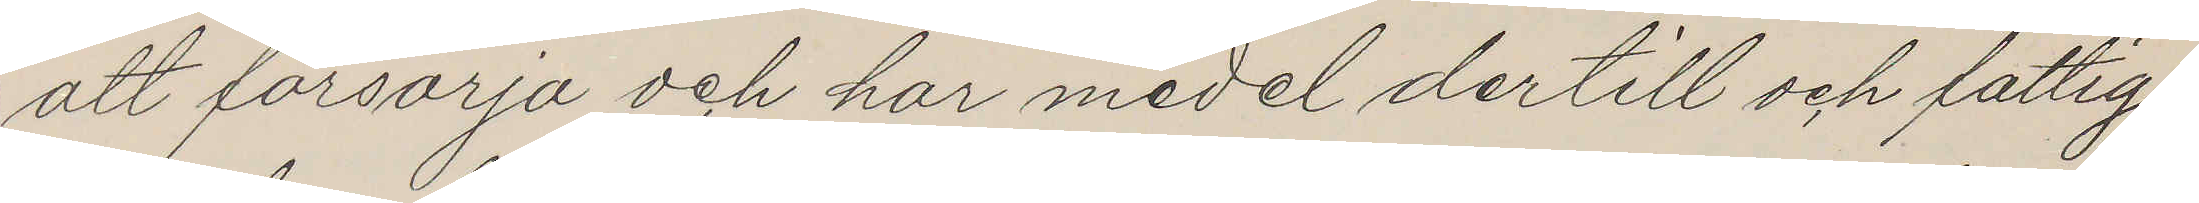att försörja och har medel dertill och fattig¬
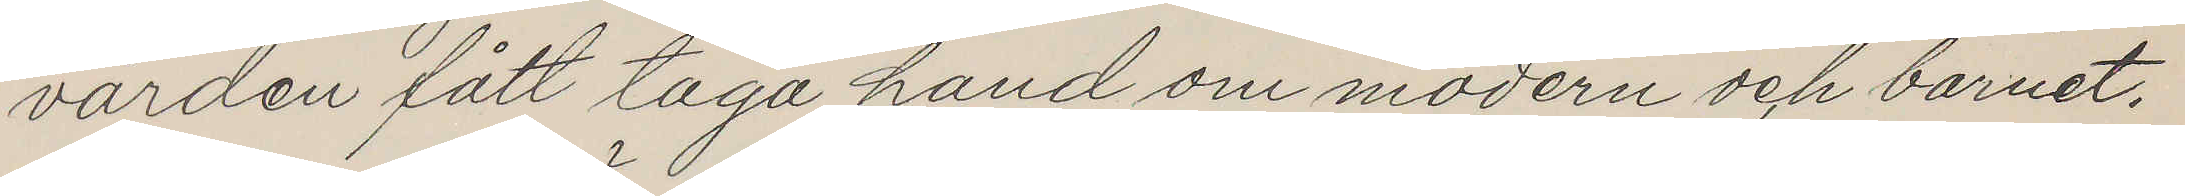vården fått taga hand om modern och barnet.
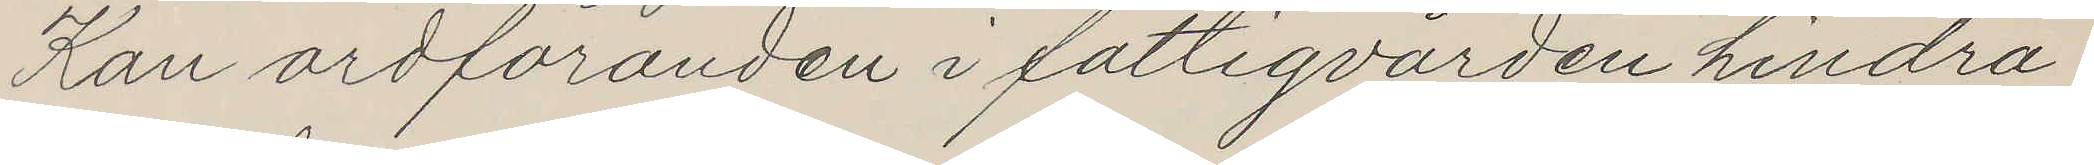Kan ordföranden i fattigvården hindra
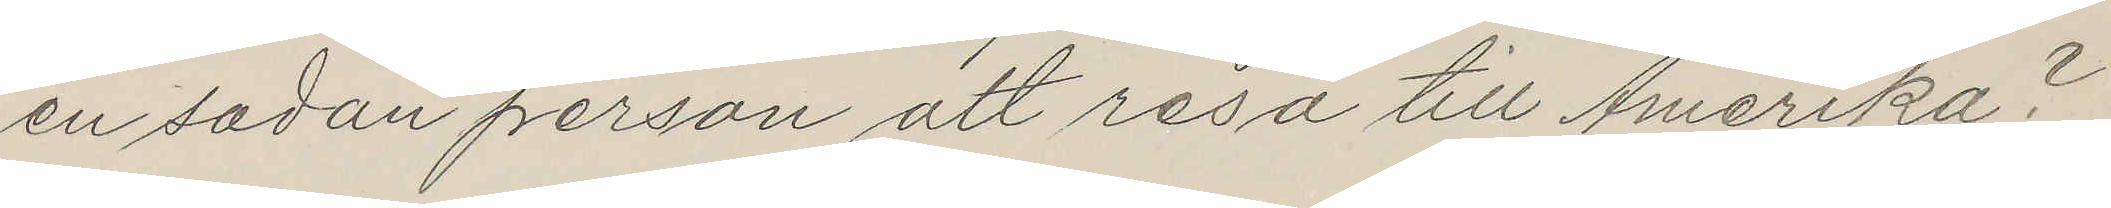en sadan person att resa till Amerika?
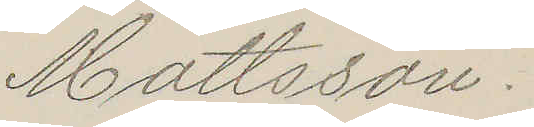Mattsson.
